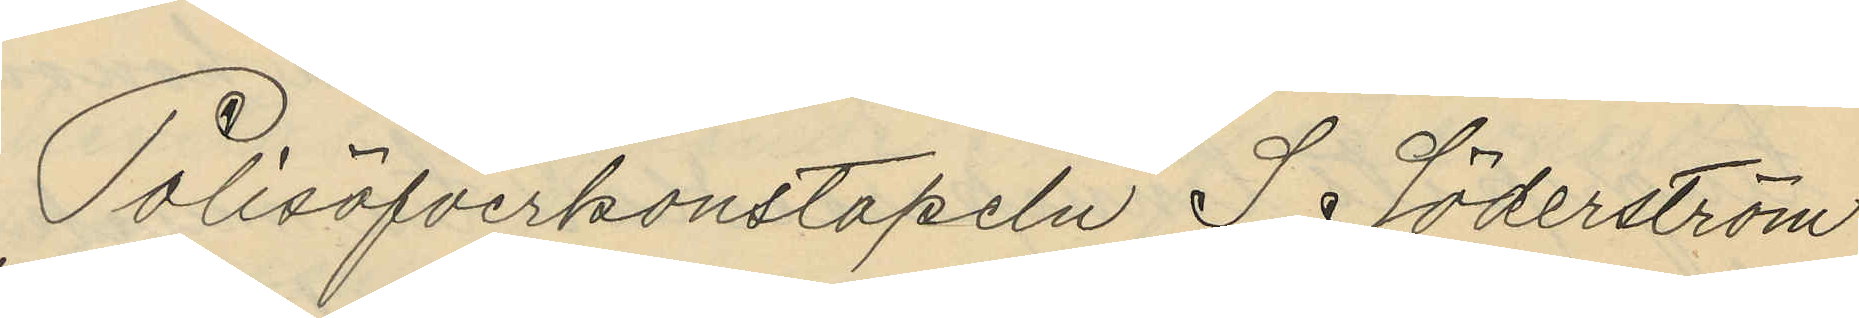Polisöfverkonstapeln I Söderström
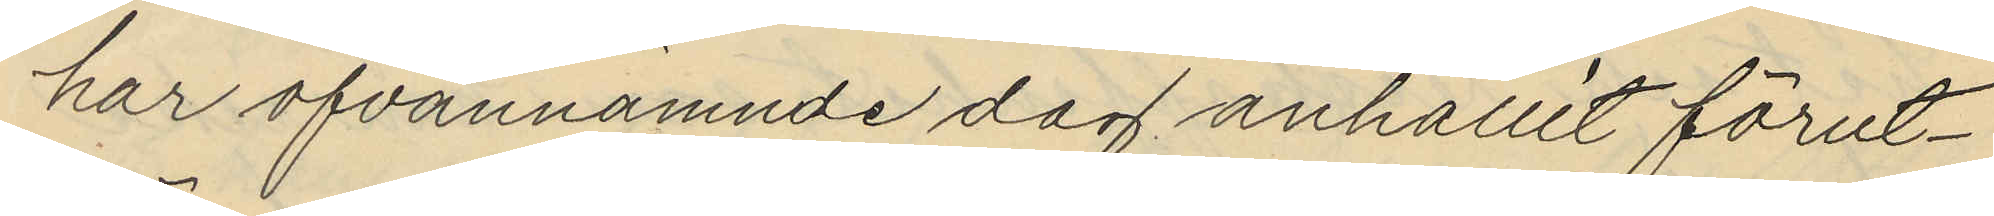har ofvannämnde dag anhållit förut¬
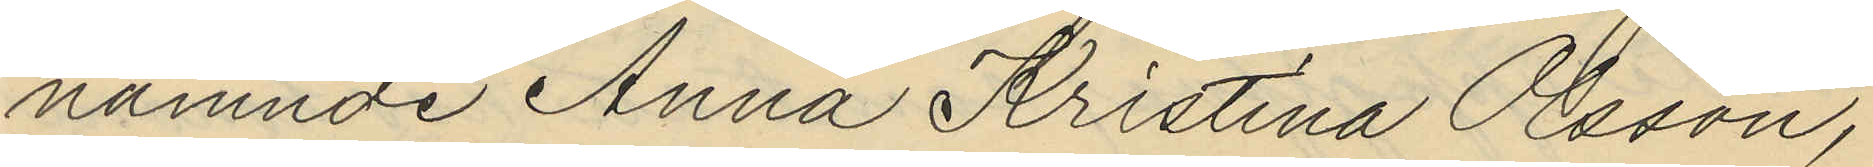nämnde Anna Kristina Osson,
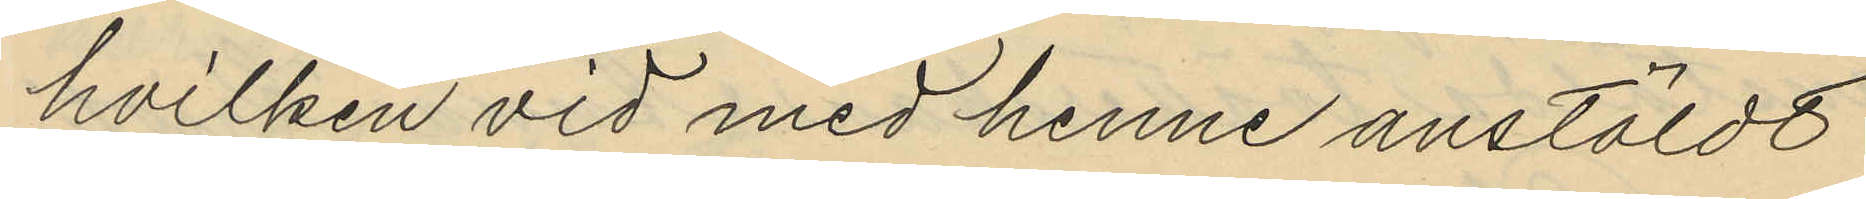hvilken vid med henne anstäldt
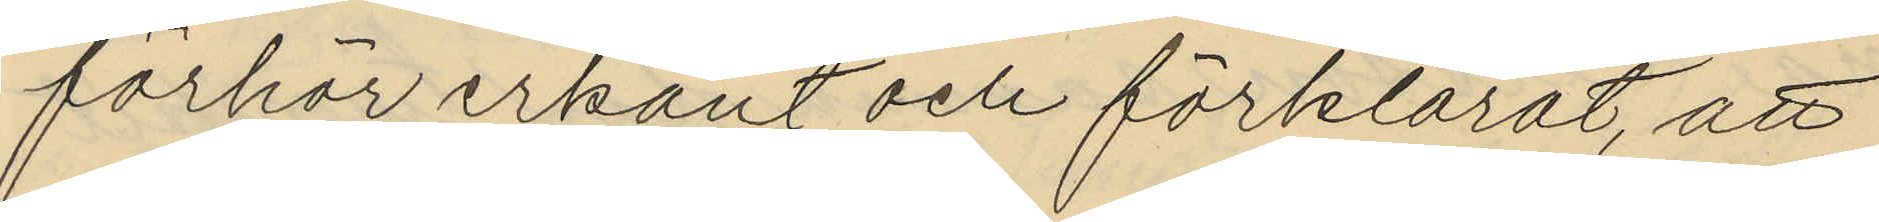förhör erkänt och förklarat, att
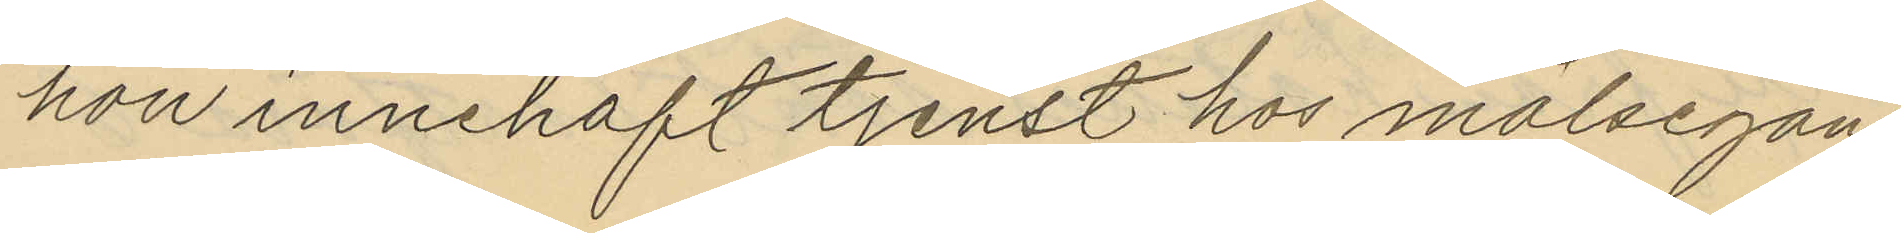hon innehaft tjenst hos målsegan¬
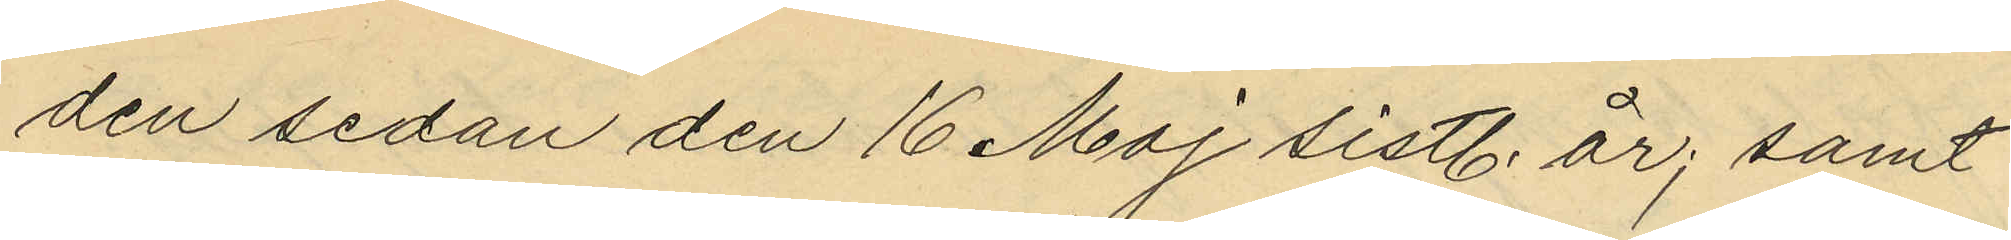den sedan den 16 Maj sistl. år; samt
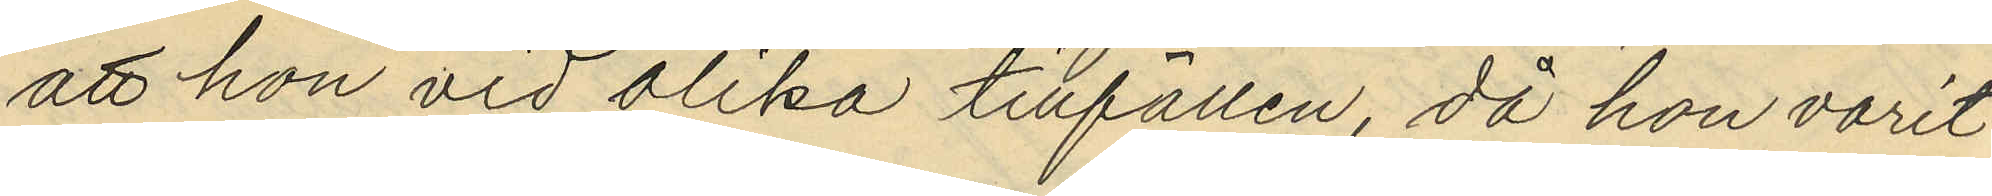att hon vid olika tillfällen, då hon varit
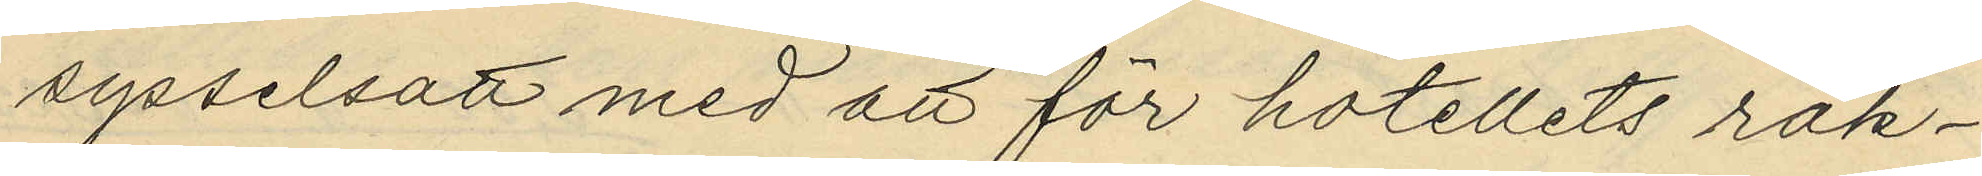sysselsatt med att för hotellets räk¬
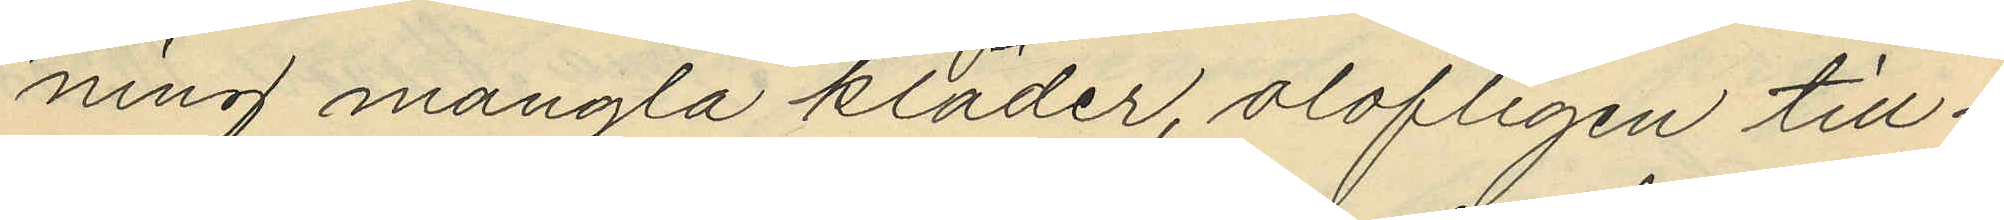ning mangla kläder, olofligen till¬
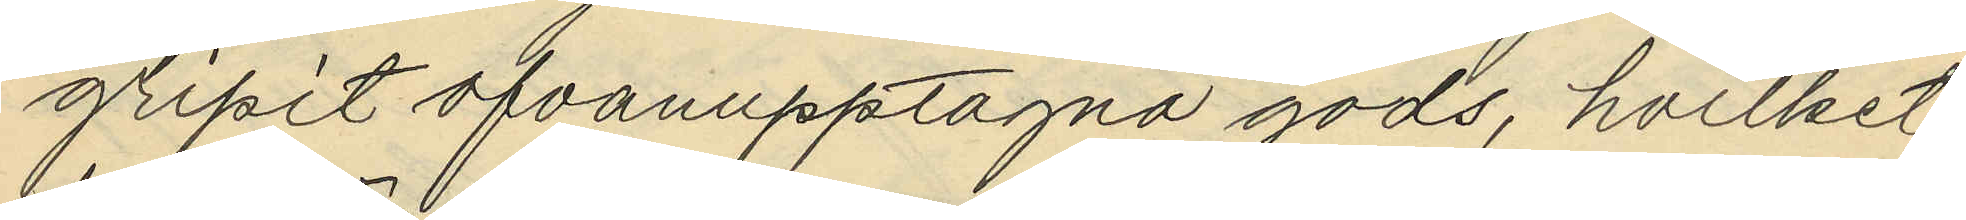gripit ofvanupptagna gods, hvilket
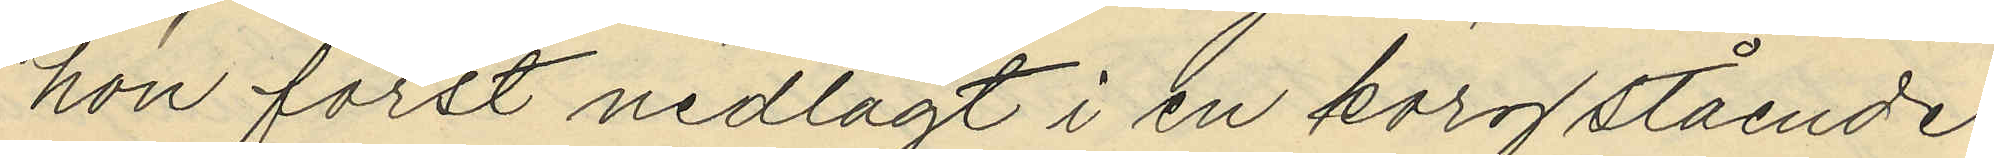hon först nedlagt i en korg stående
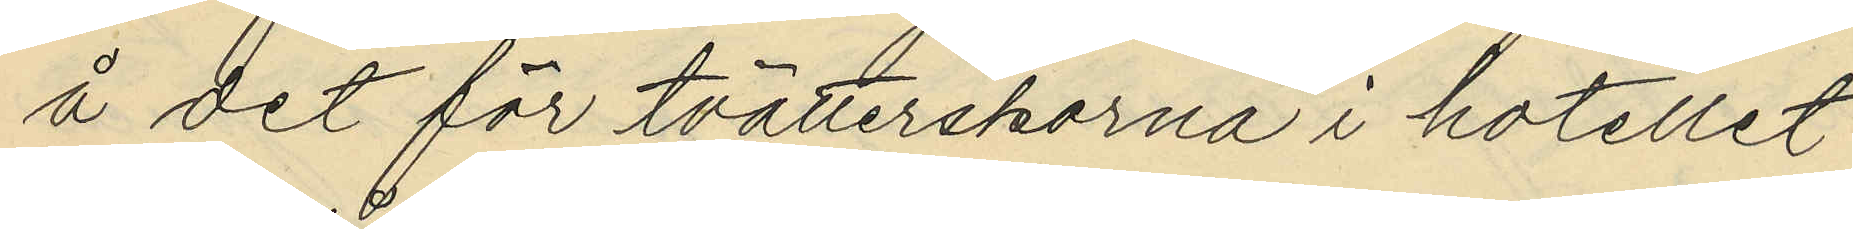å det för tvätterskorna i hotellet
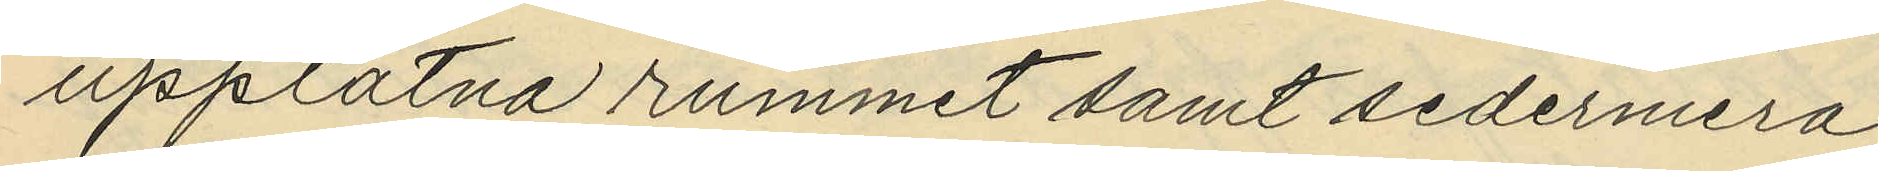upplätna rummet samt sedermera
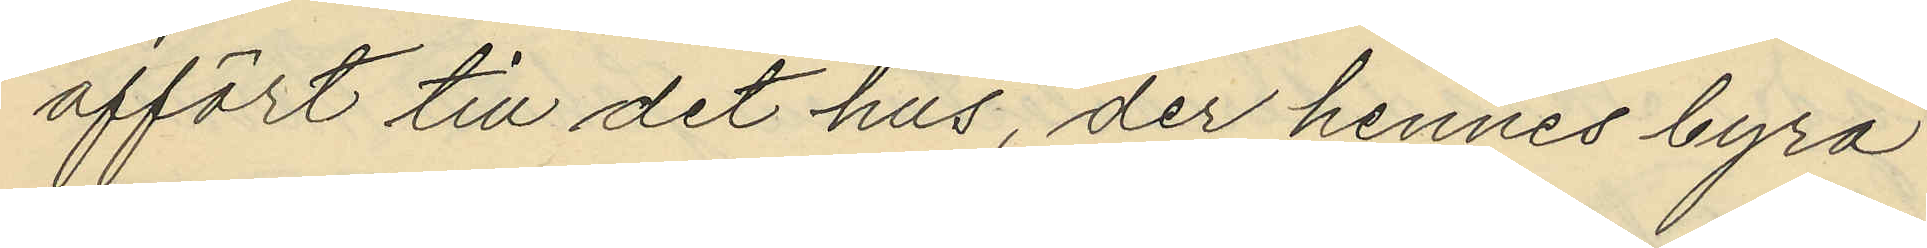affört till det hus, der hennes byrå
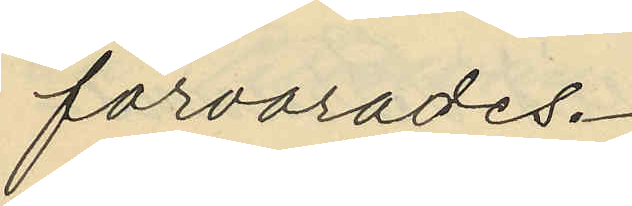förvarades.
